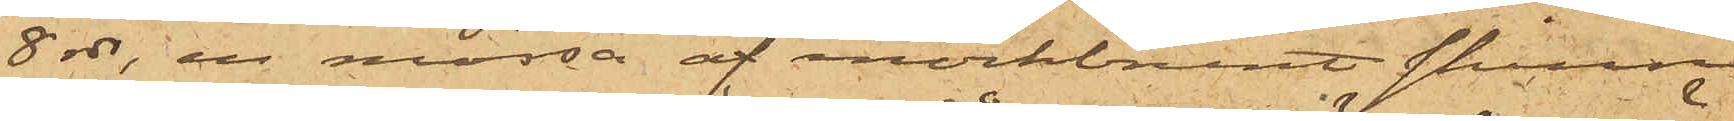8 rdr, en mössa af mörkbrunt skinn,
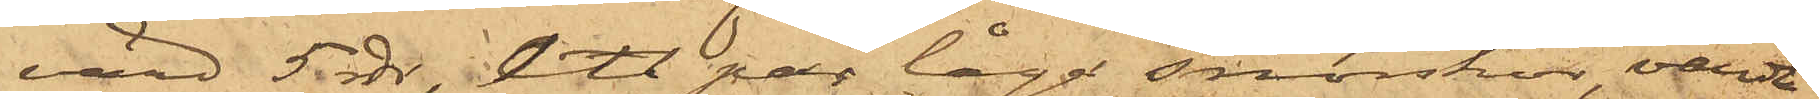värd 5 rdr, ett par låga snörskor, värda
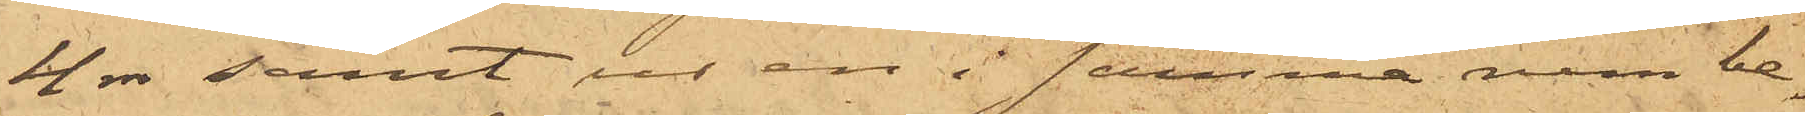4 rdr samt ur en i samma rum be¬
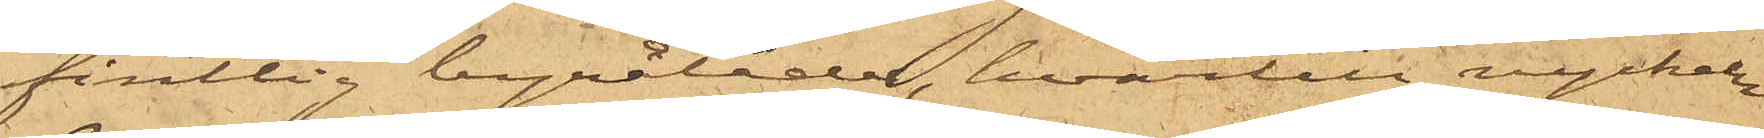fintlig byrålåda, hvartill nyckeln
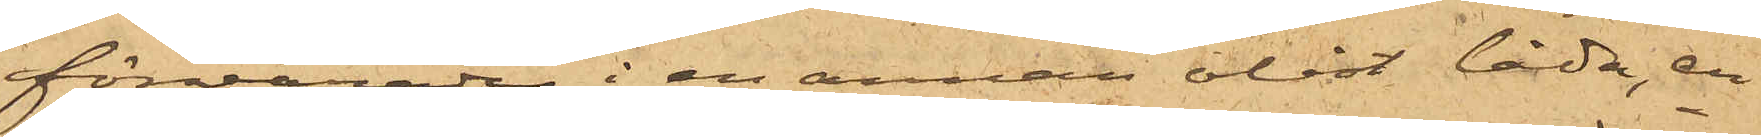förvarades i en annan olåst låda, en
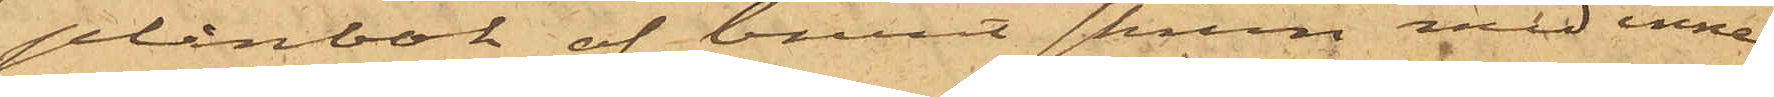plånbok af brunt skinn med inne¬
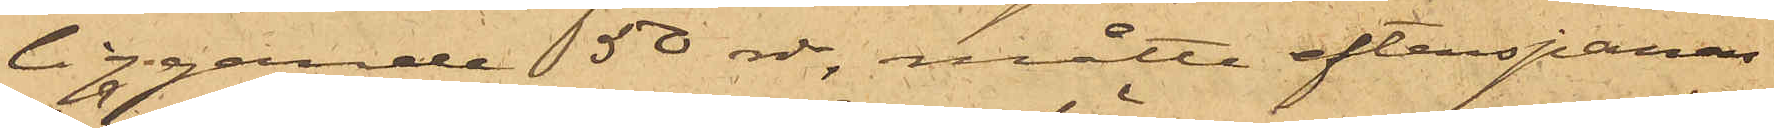liggande 50 rdr, måtte efterspanas
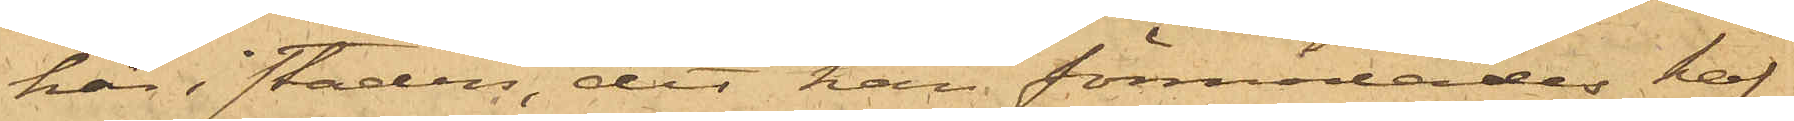här i staden, dit han förmodades haf¬
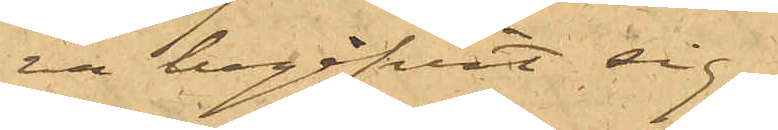va begifvit sig,
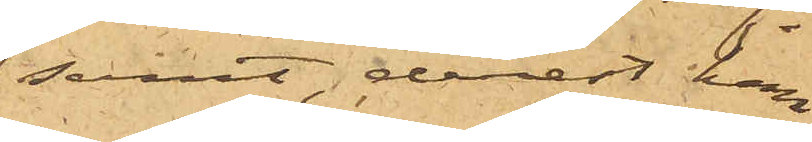samt, derest han
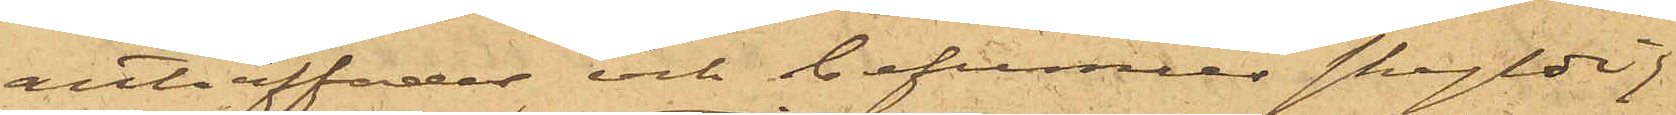anträffades och befunnes skyldig
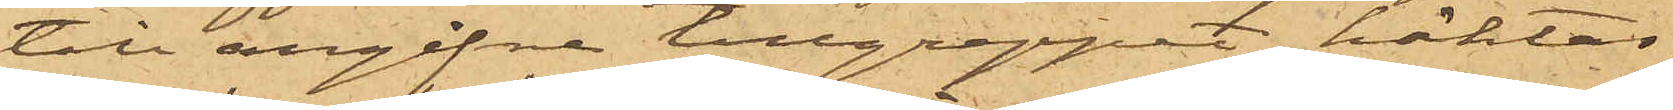till angifne tillgreppet. häktas
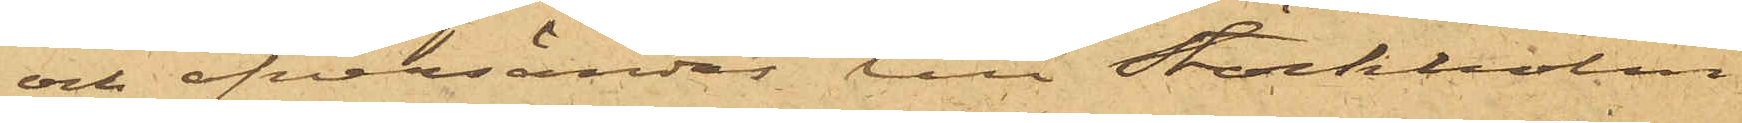och öfversändes till Stockholm
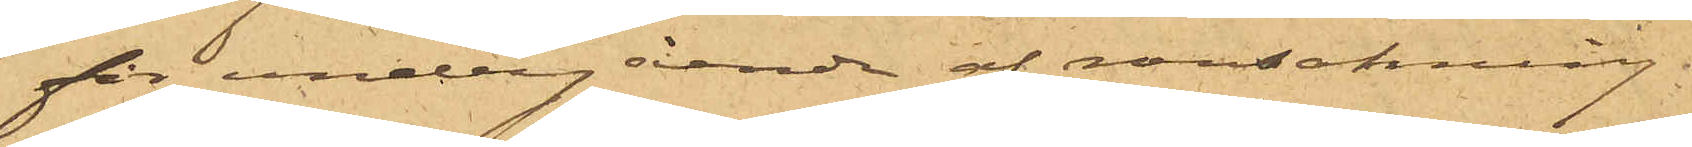för undergående af ransakning.
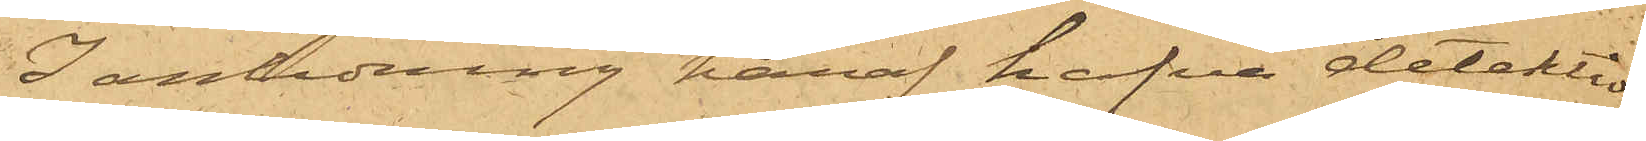I anledning häraf hafva detektiv¬
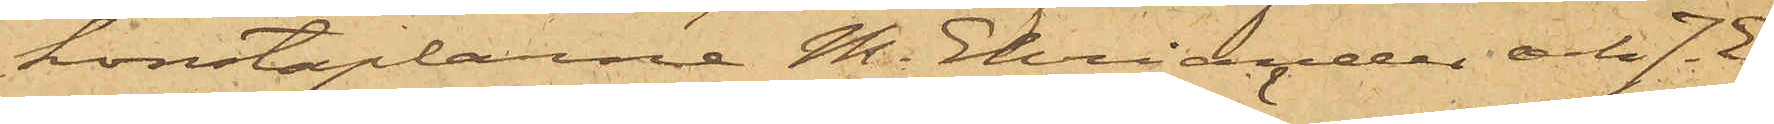konstaplarne M. Ehriander och J. E.
